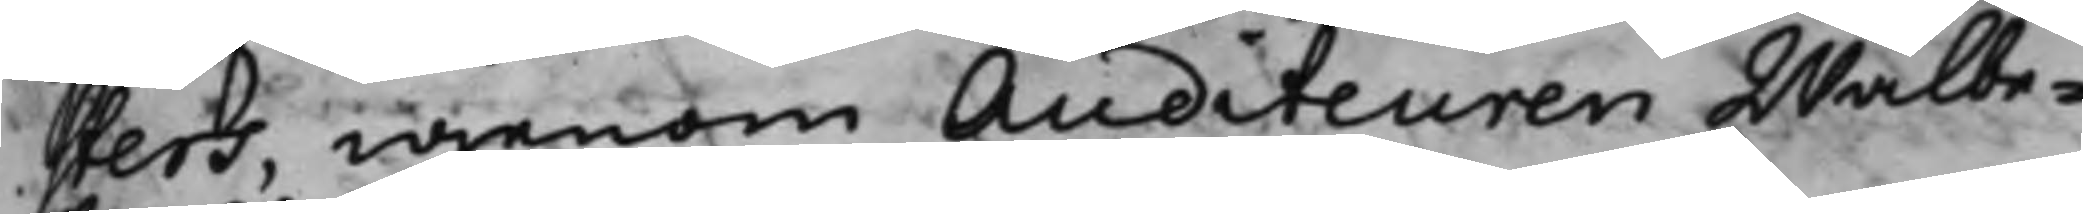sters, igenom Auditeuren Wälbe¬
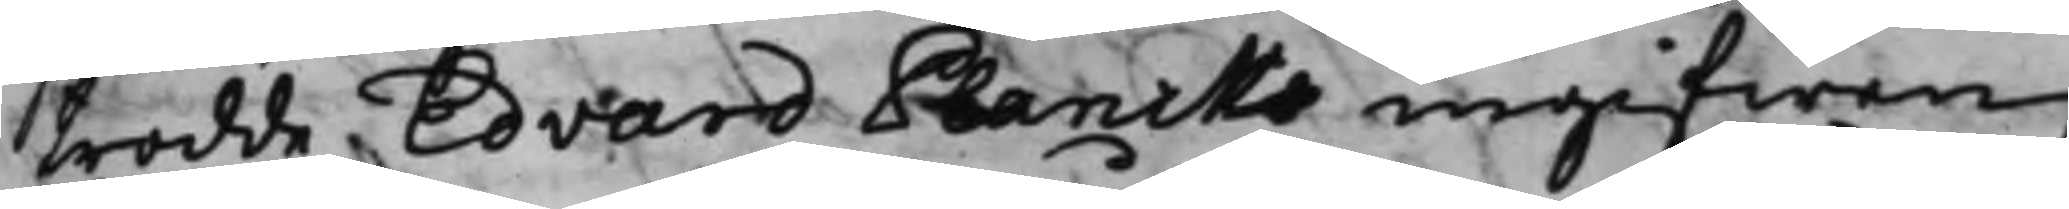trodde Edvard Plancks ingifwen
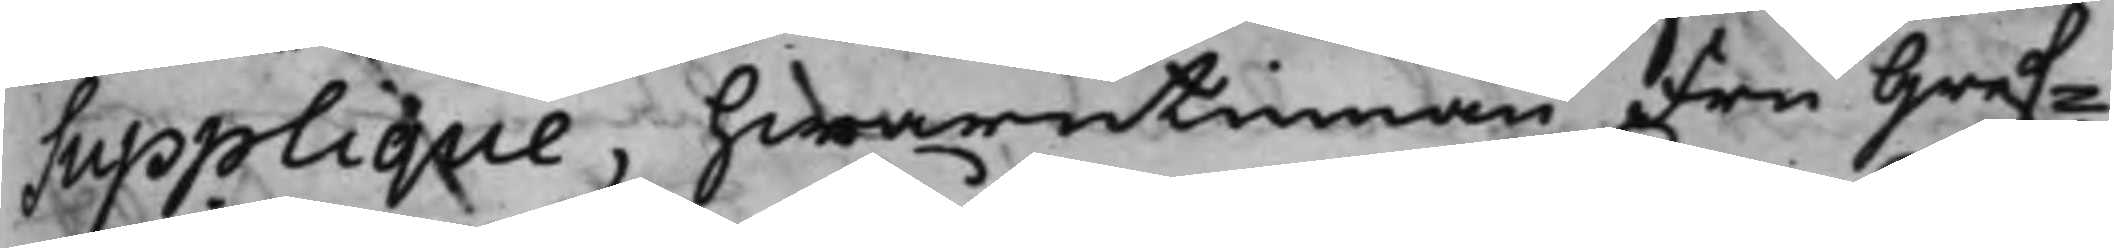Supplique, hwarutinnan Fru Gref¬
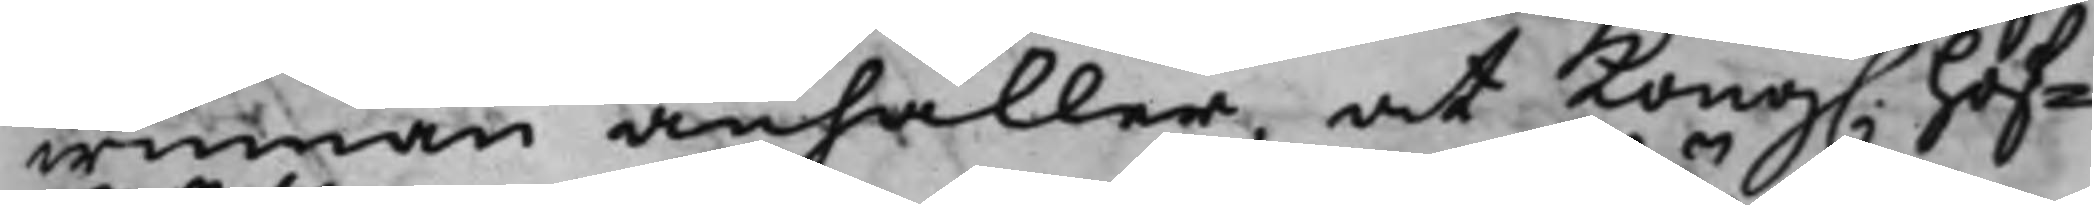winnan anhåller at Kong. Hof¬
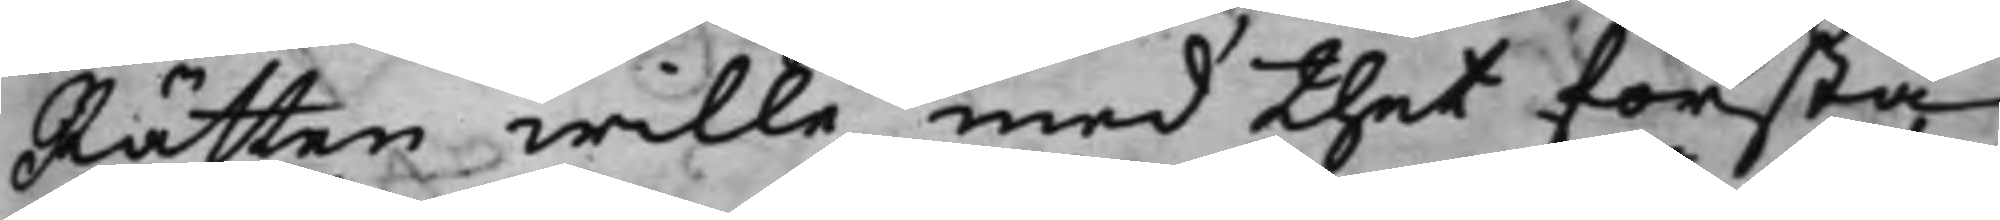Rätten wille med thet första
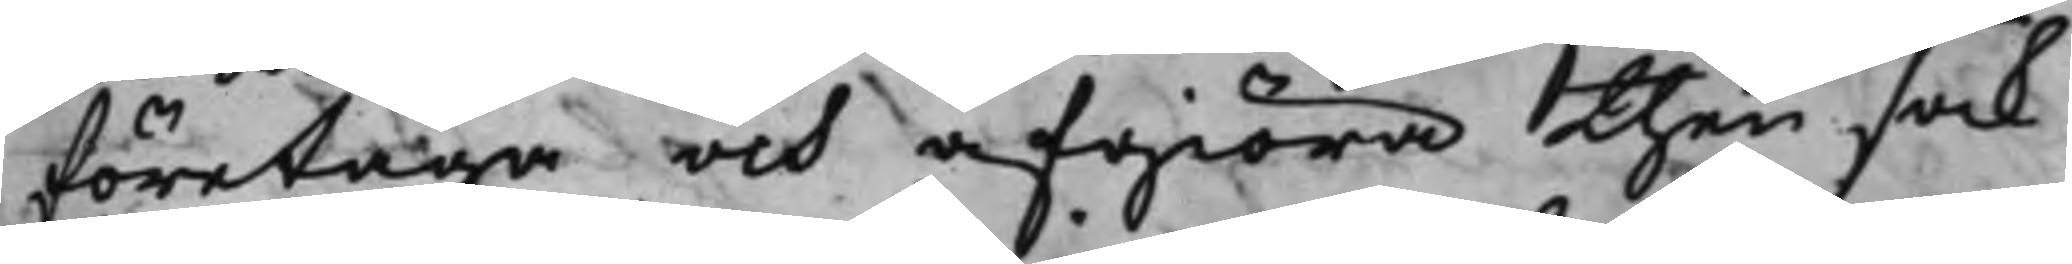företaga och afgiöra then sak
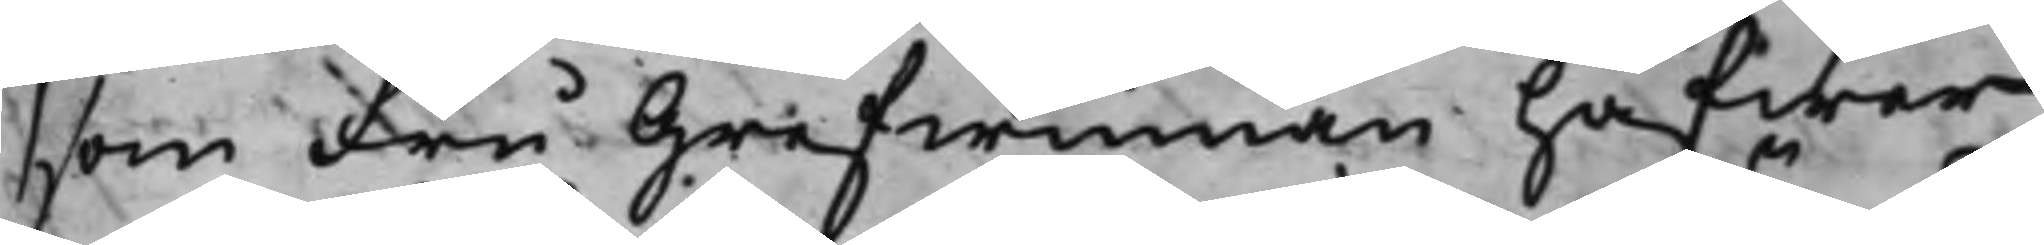som Fru Grefwinnan hafwer
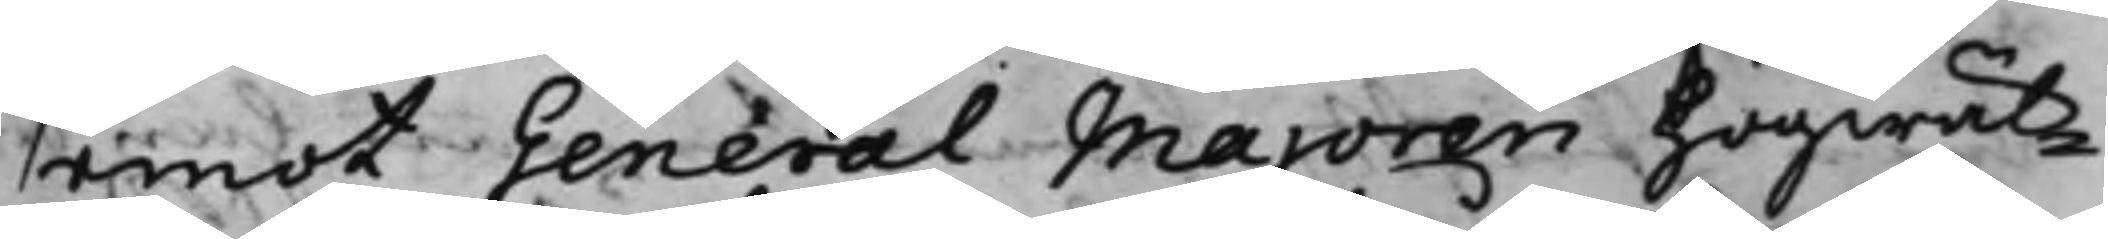emot General Majoren högwäl¬
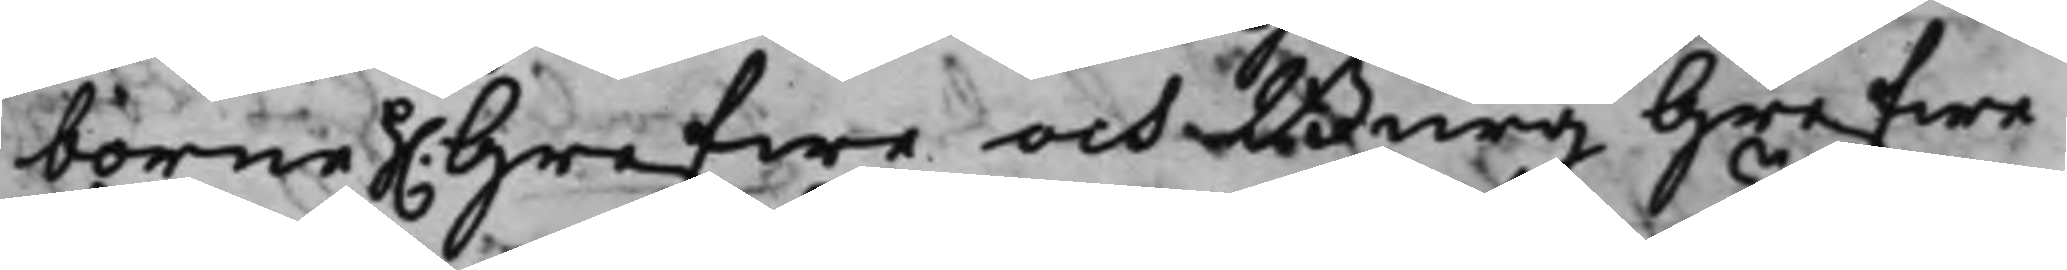borne h. Grefwe och Burg Grefwe
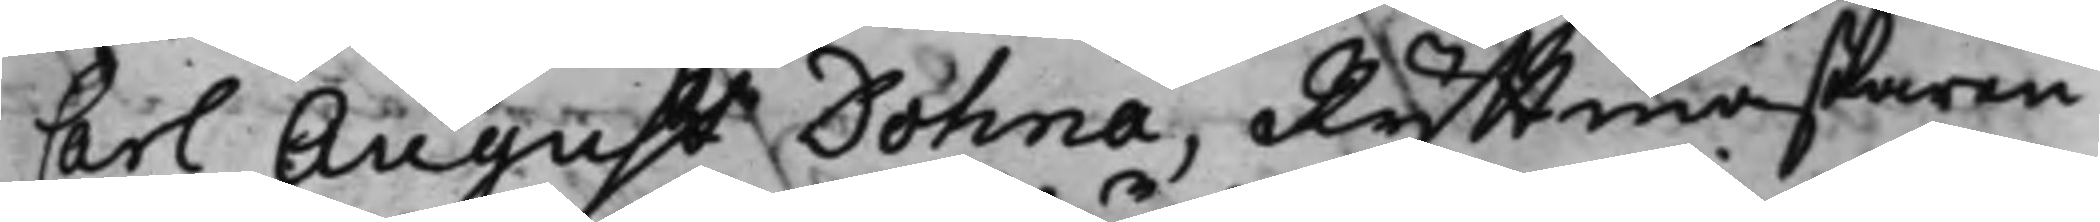Carl August Dohna, Ryttmästaren
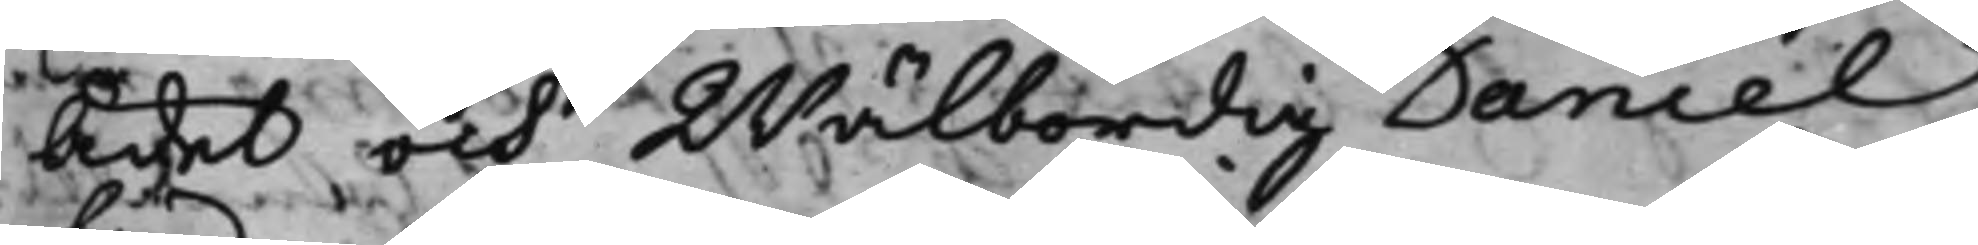Ädel och Wälbördig Daniel
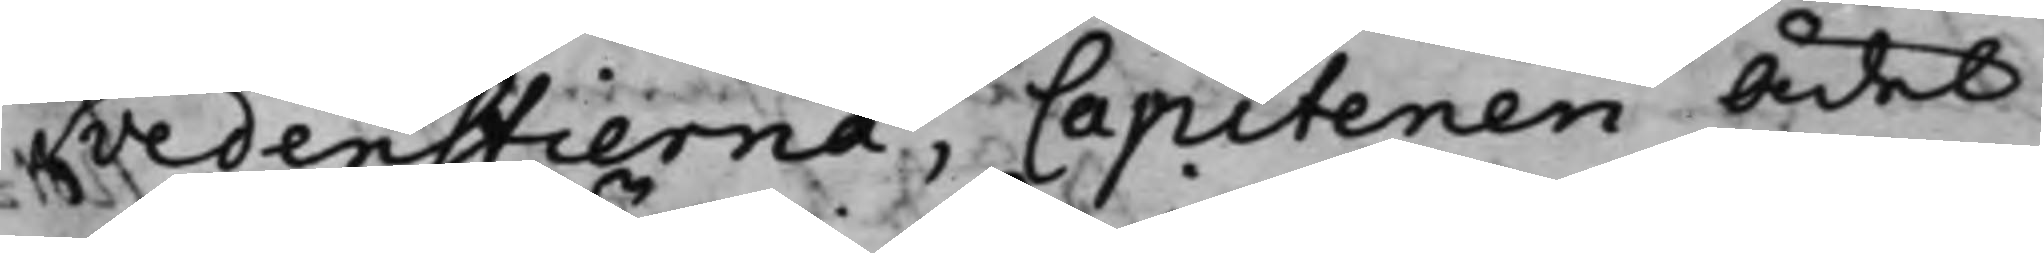Svedenstierna, Capitenen Ädel
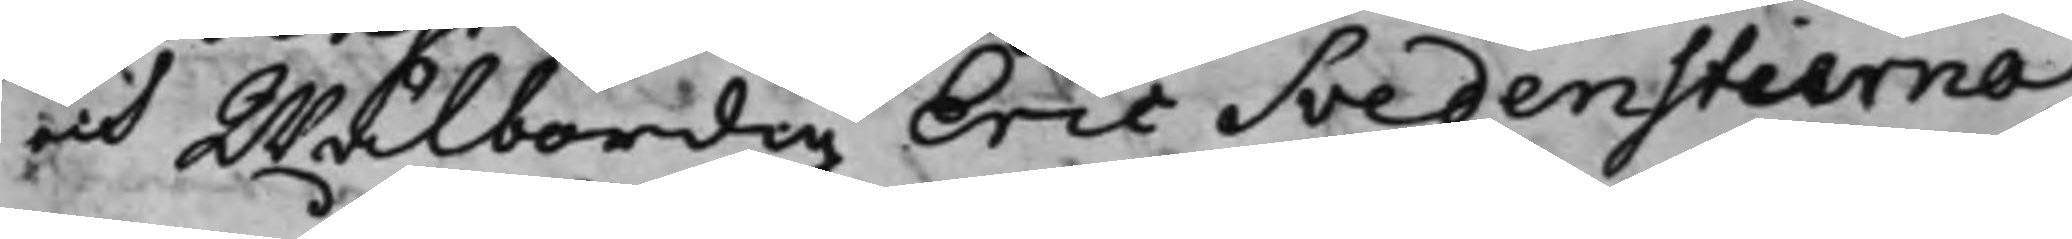och Wälbördig Eric Svedenstierna,
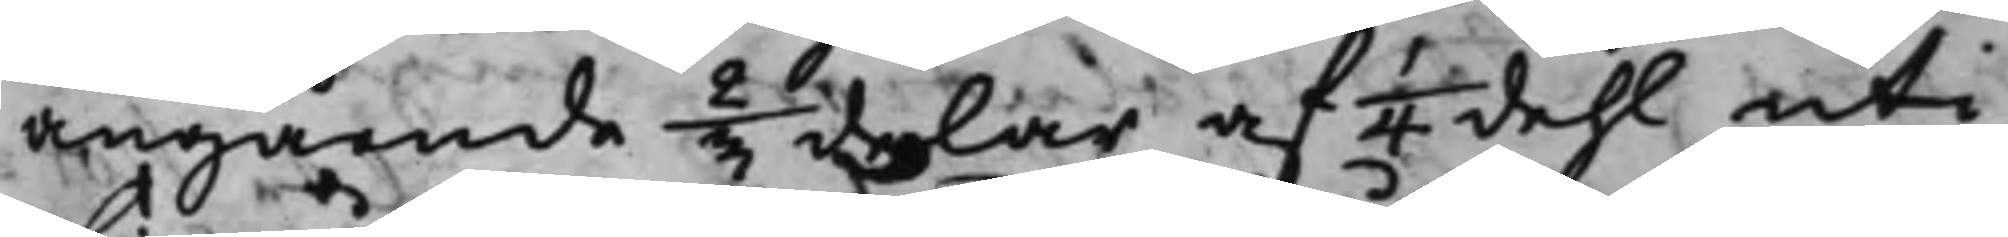angående 2/3 delar af 1/4 dehl uti
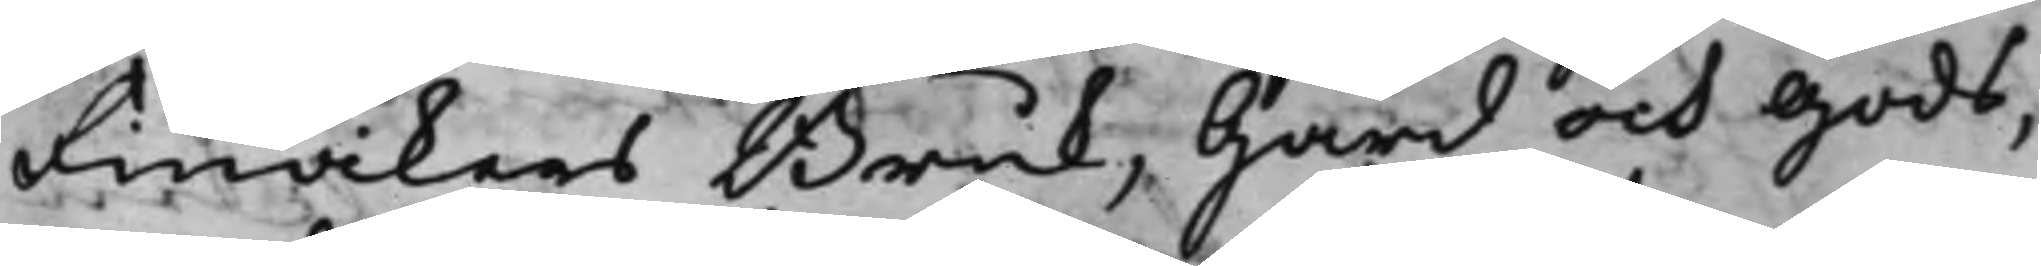Finvikens Bruk, Gård och gods,
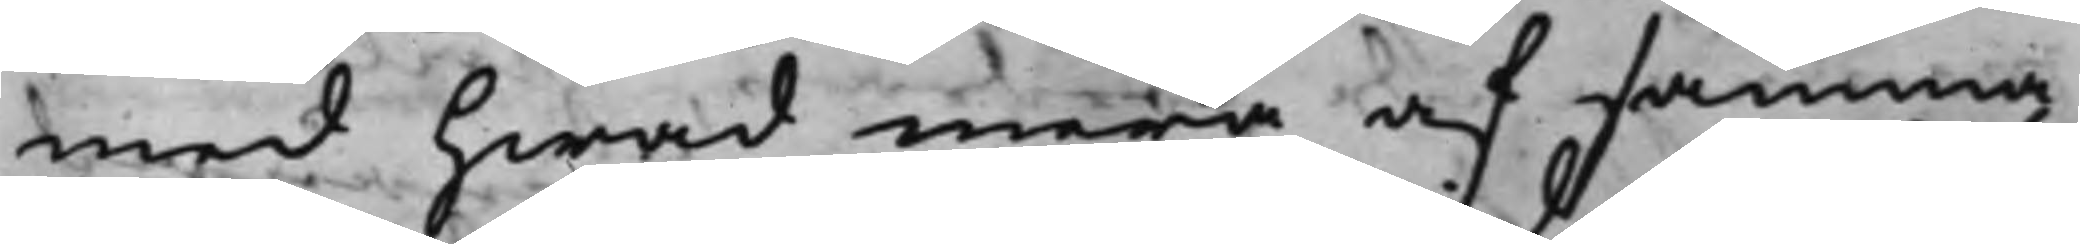med hwad mera af samma
